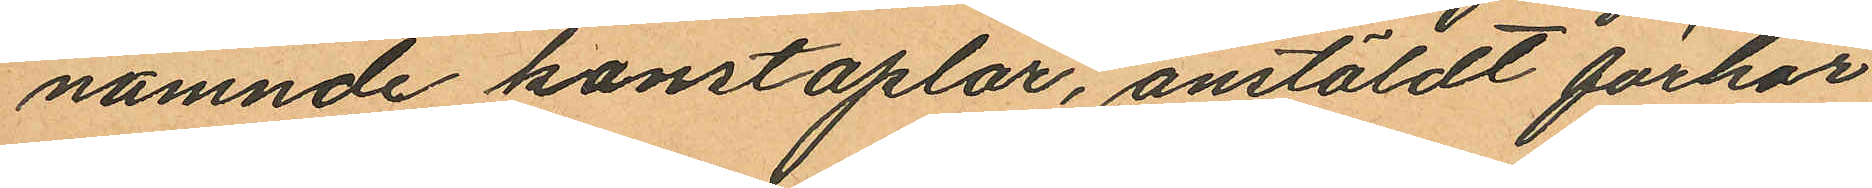nämnde konstaplar, anstäldt förhör
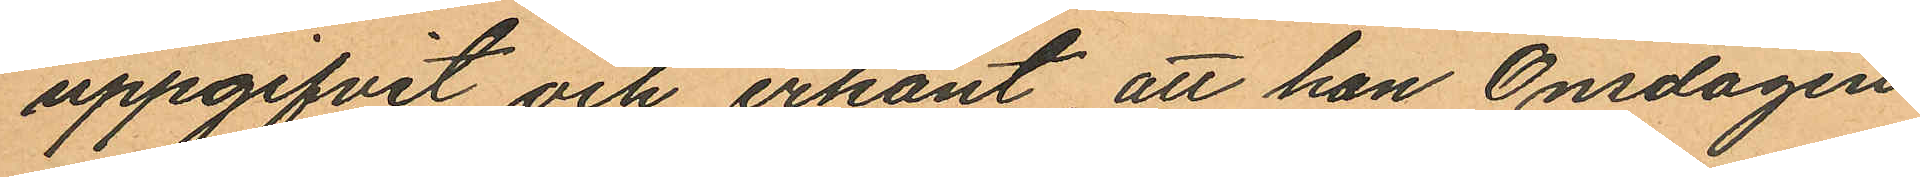uppgifvit och erkänt att han Onsdagen
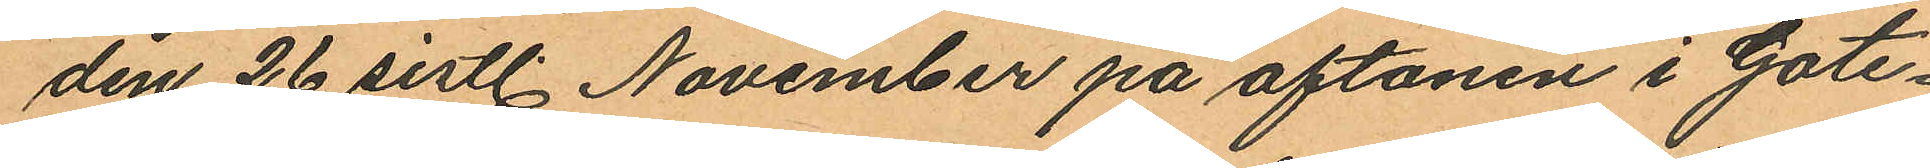den 26 sistl. November på aftonen i Gote¬
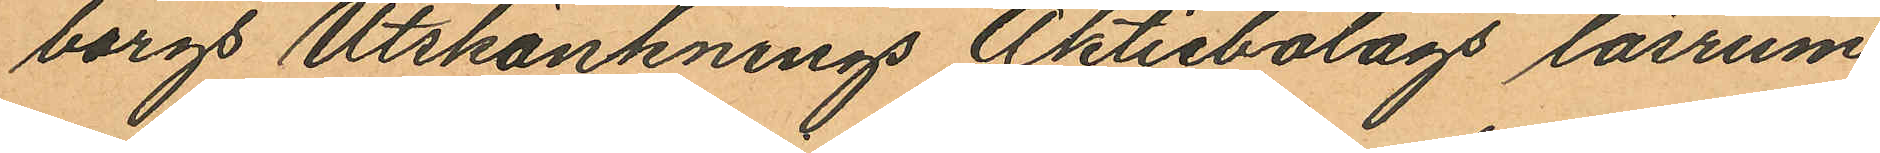borgs Utskänknings Aktiebolags läsrum
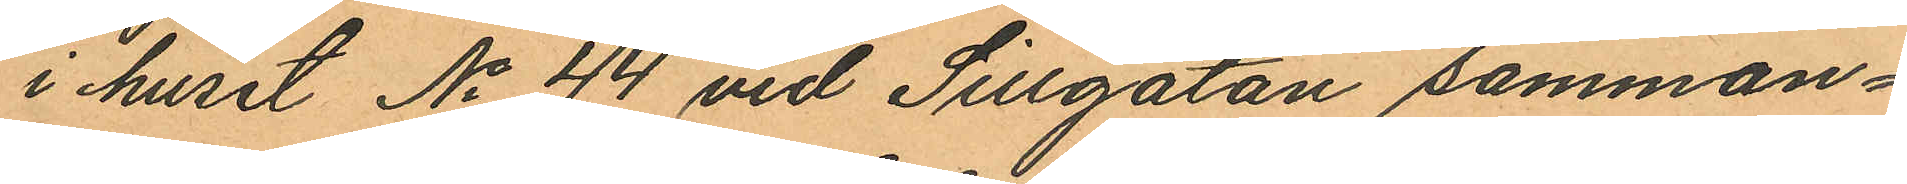i huset No 44 vid Sillgatan samman¬
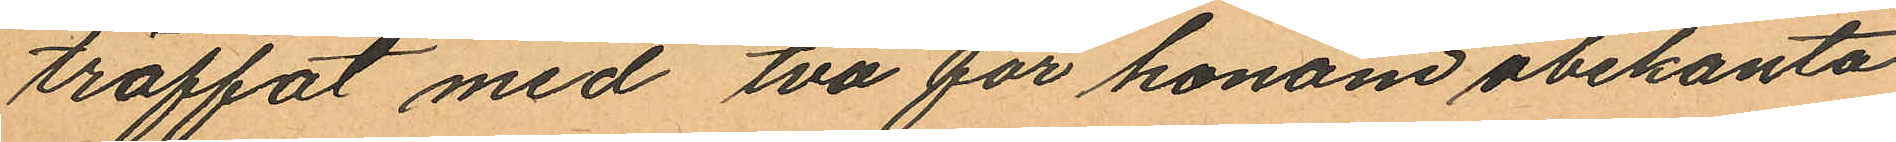träffat med två för honom obekanta
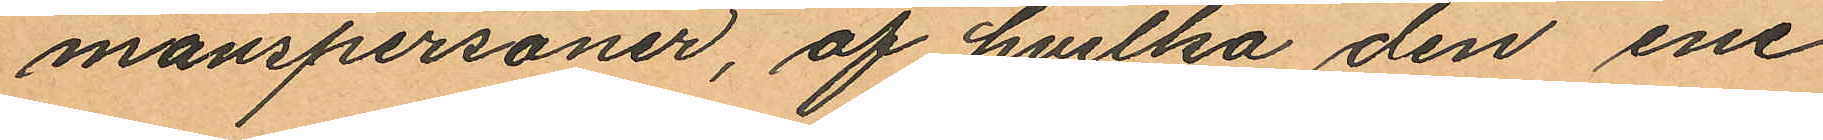manspersoner, af hvilka den ene
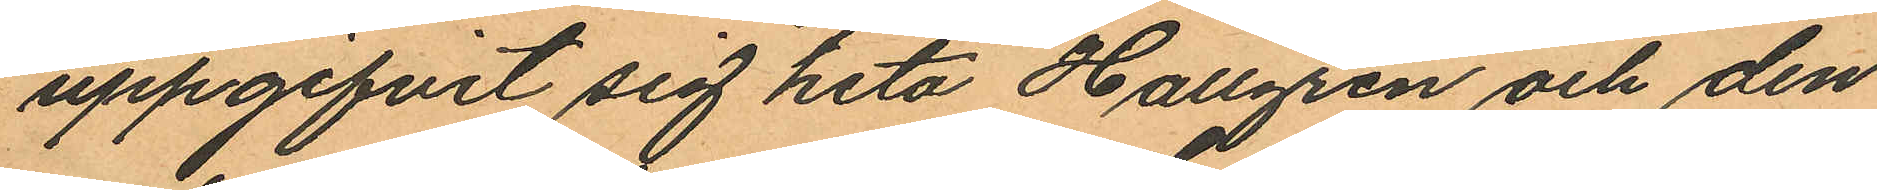uppgifvit sig heta Hallgren och den
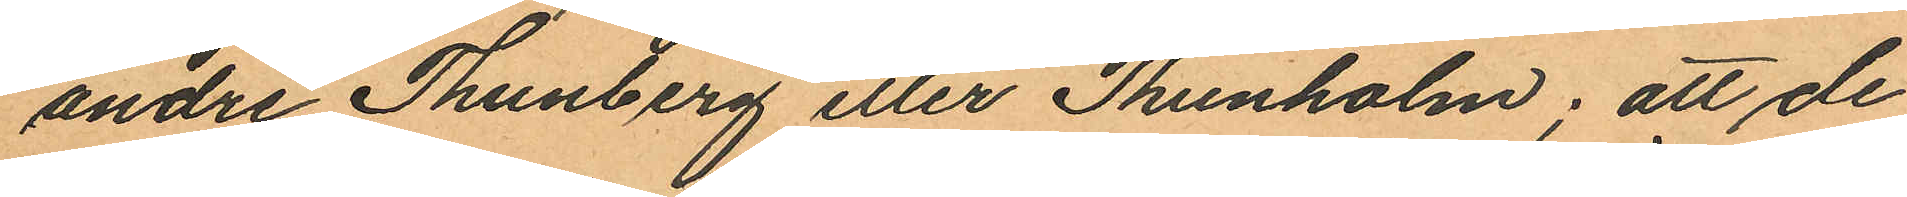andre Thunberg eller Thunholm; att de
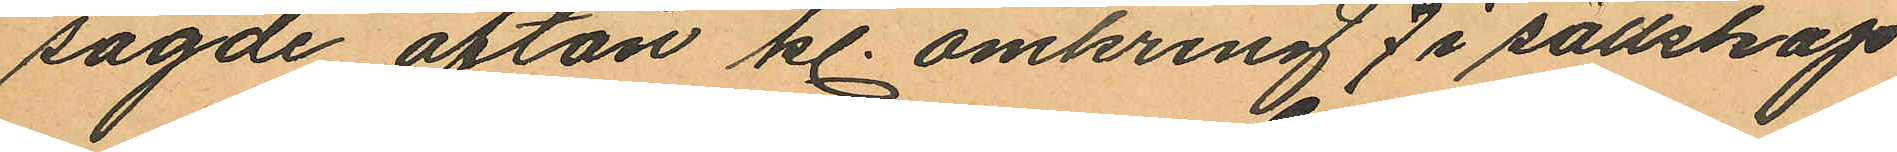sagde afton kl. omkring 7 i sällskap
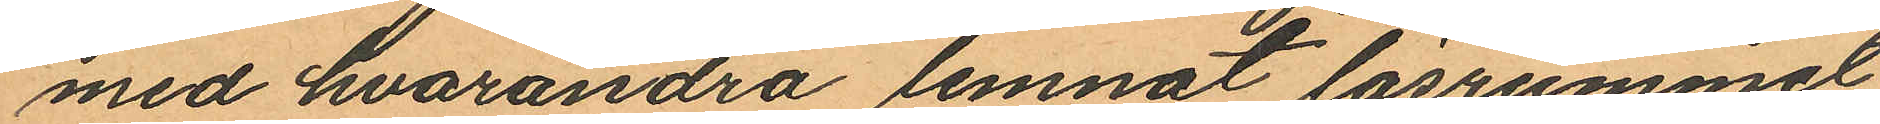med hvarandra lemnat läsrummet
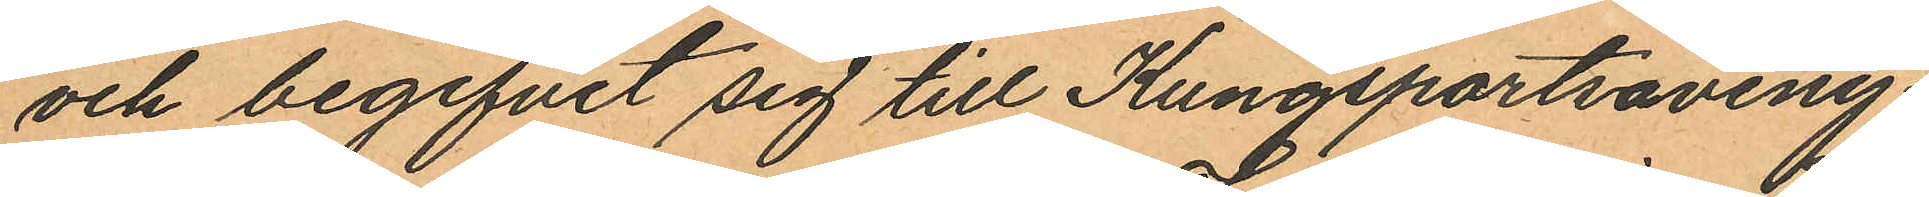och begifvit sig till Kungsportsaveny¬
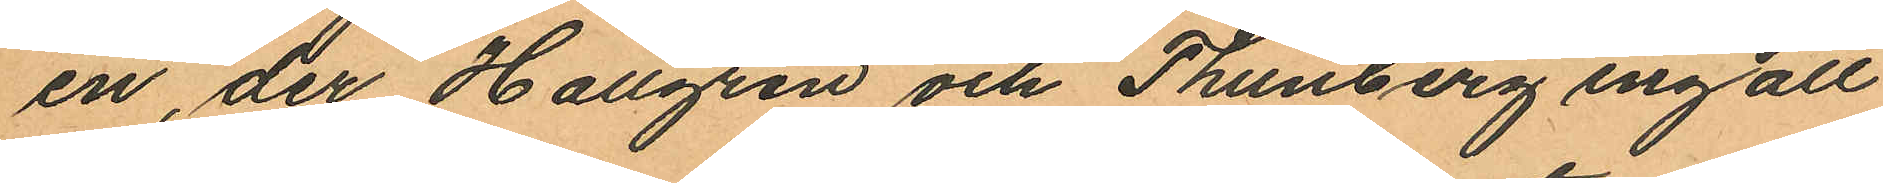en, der Hallgren och Thunberg ingått
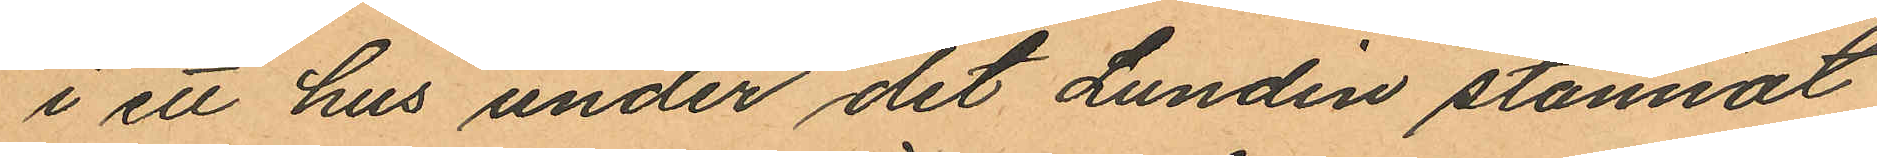i ett hus under det Lundin stannat
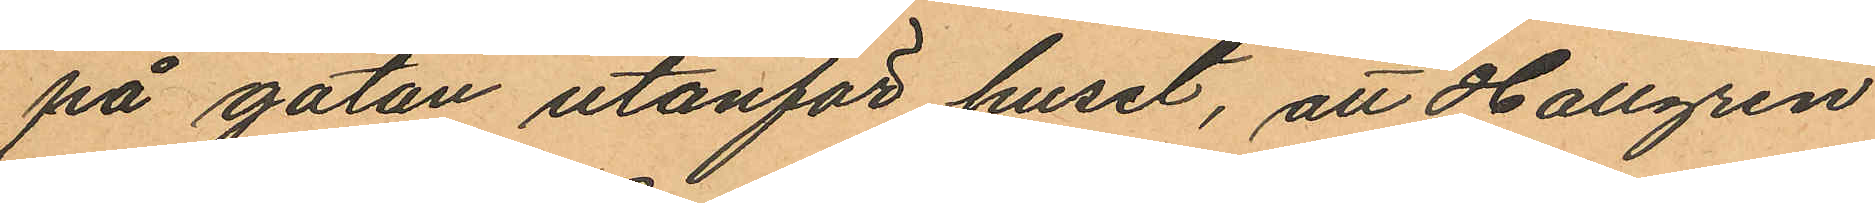på gatan utanför huset, att Hallgren
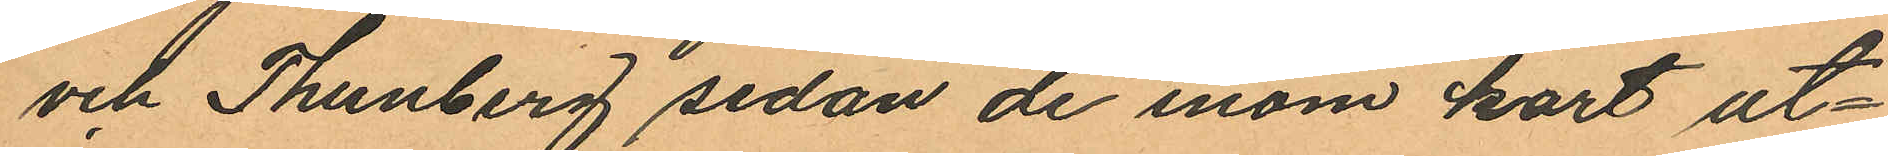och Thunberg sedan de inom kort ut¬
